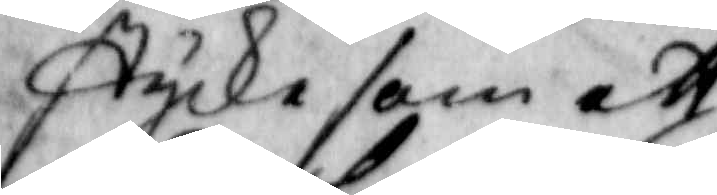stycke som ett
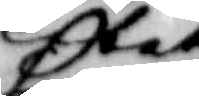litet
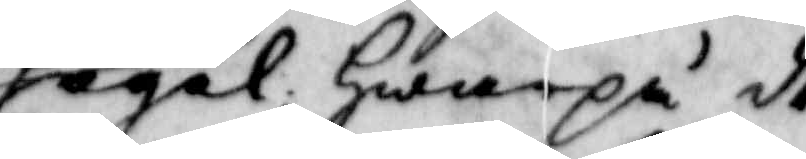hagel; hwarpå de
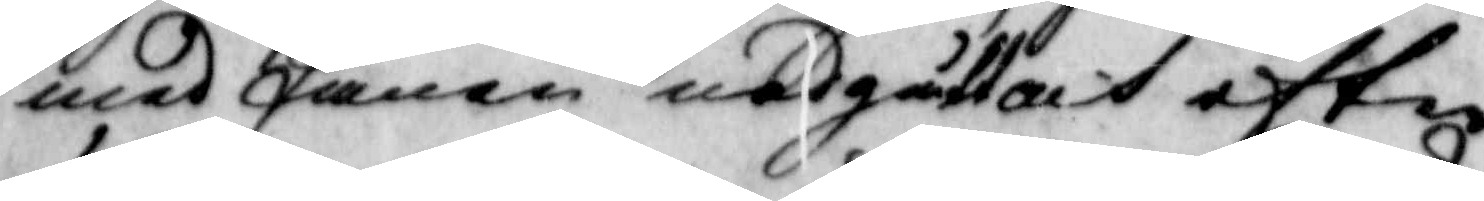med fanen nedgått och efter
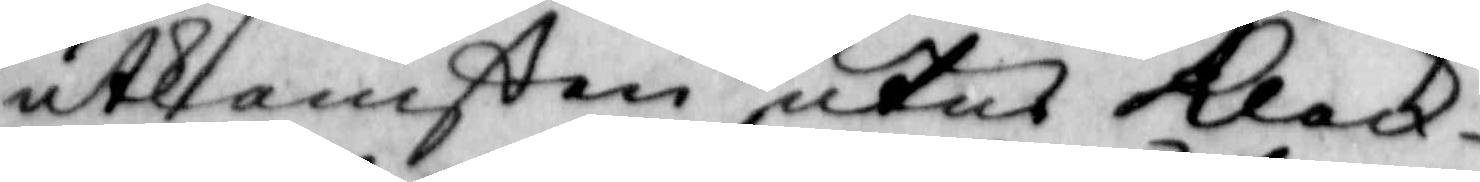utkomsten utur klock¬
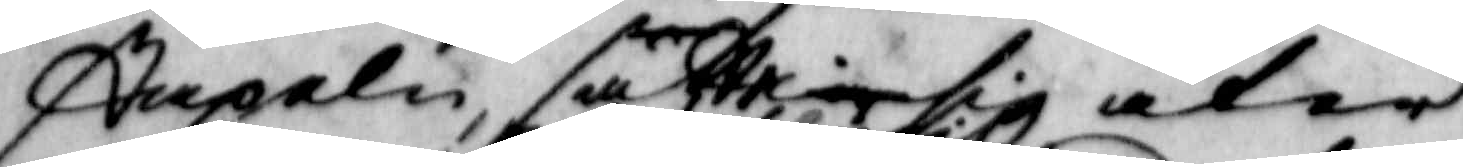stapeln satte de sig åter
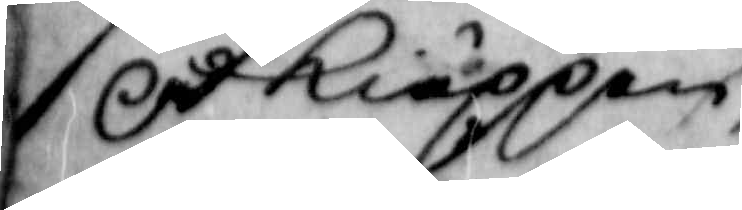på kiäppen,
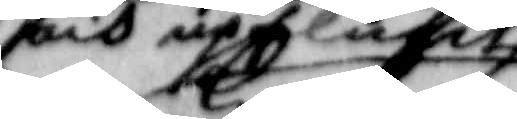och upflugit
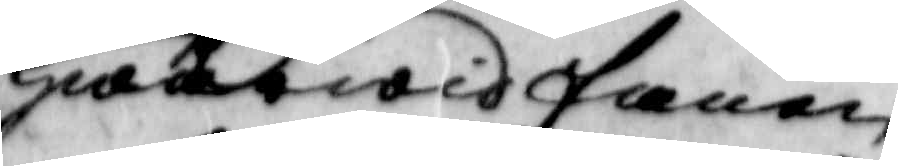hwarvid fanen
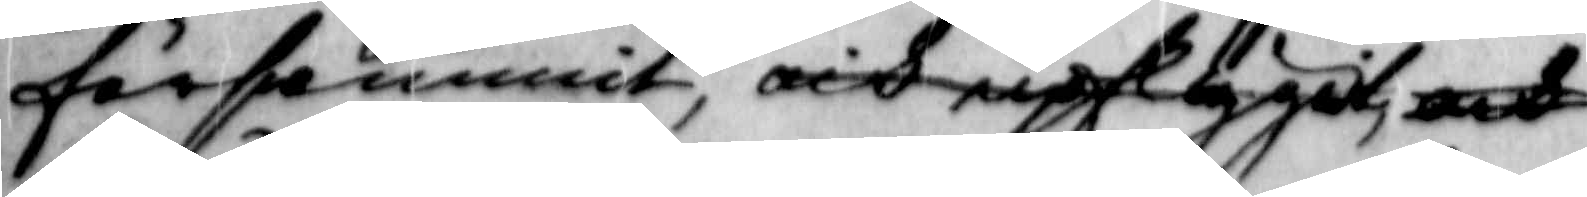förswunnit, och upflygit och
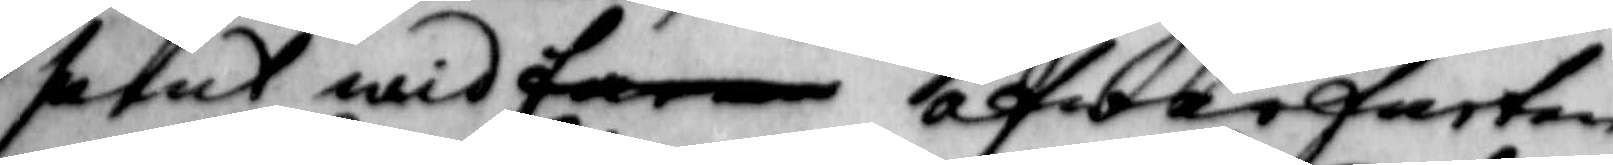samt wid fanen öfwerfarten
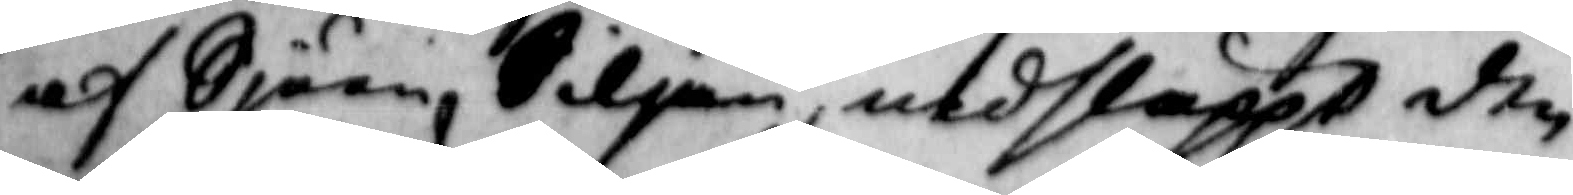af Siön Siljan, nedsläppt den
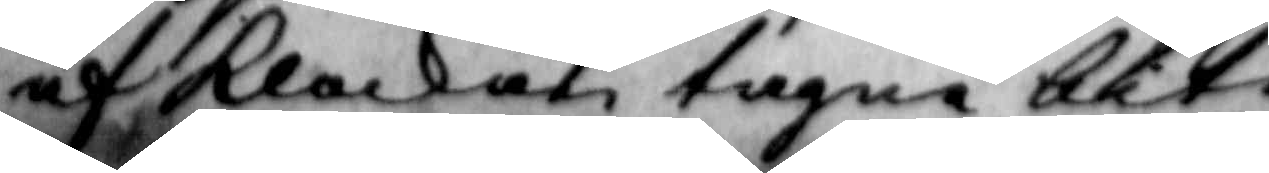af klockan tagne biten
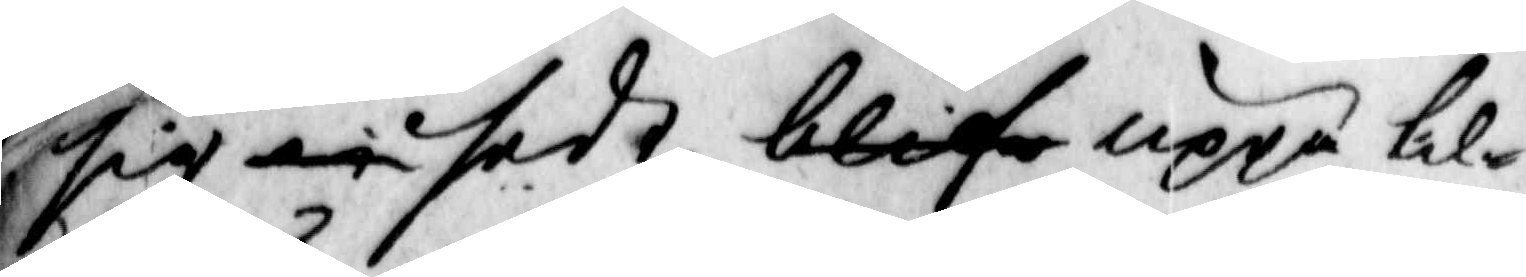sig at sedt; blife uppå til¬
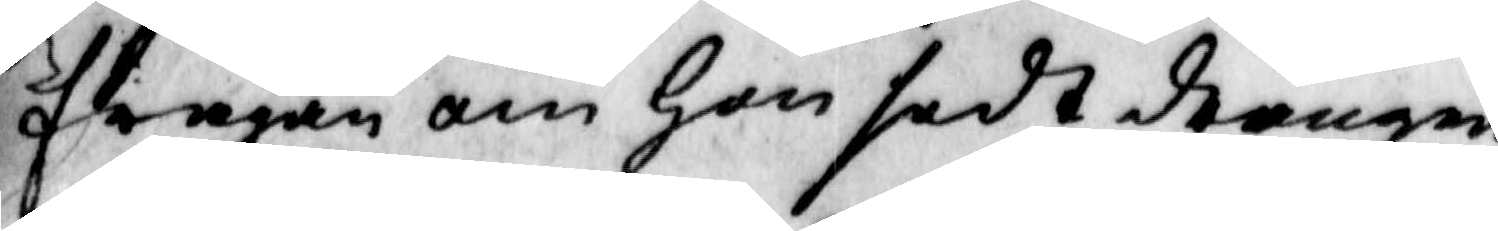frågan om hon sedt drängen
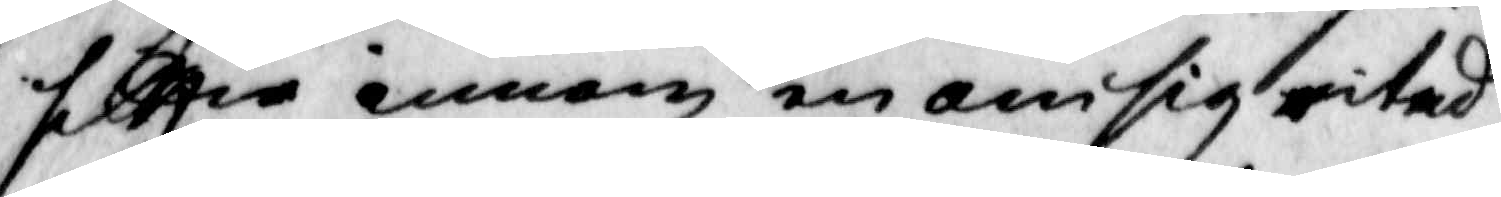sittia innom en om sig ritad
